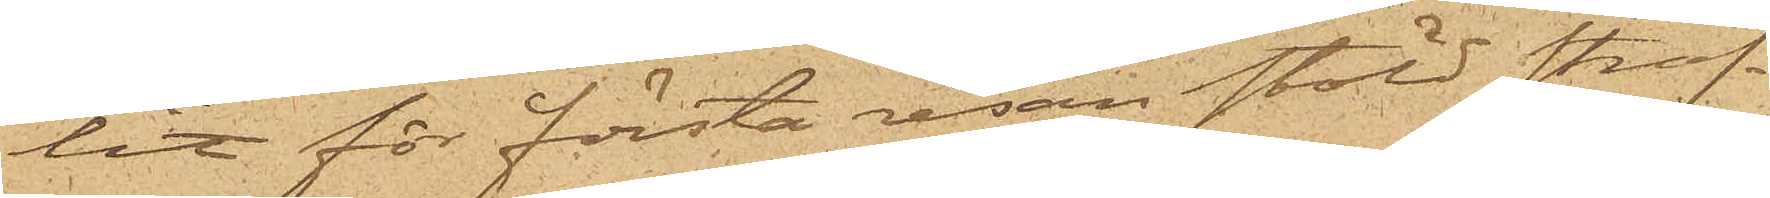lit för första resan stöld straf¬
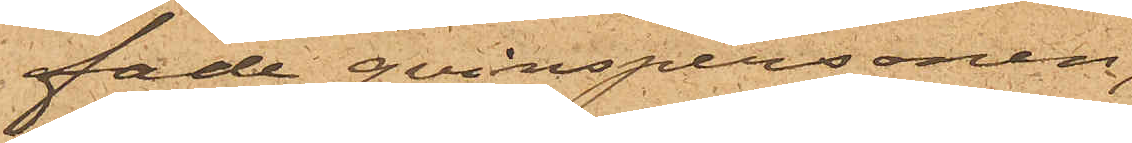fade qvinspersonen,
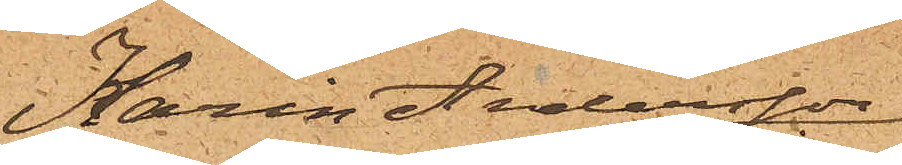Karin Andersson
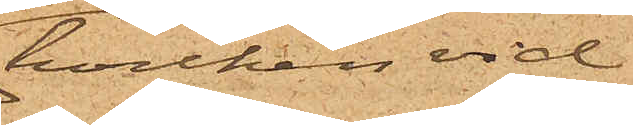hvilken vid
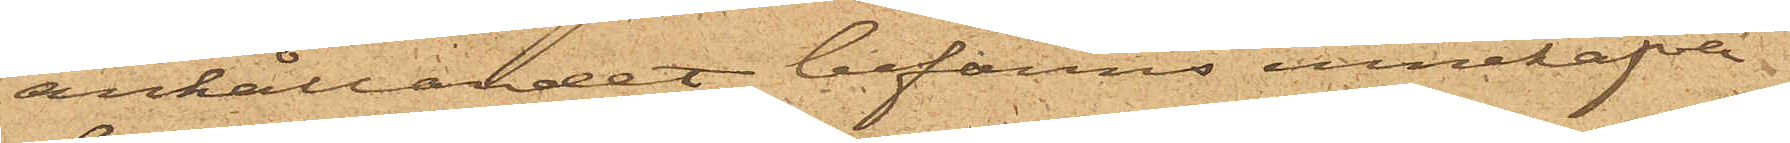anhållandet befanns innehafva
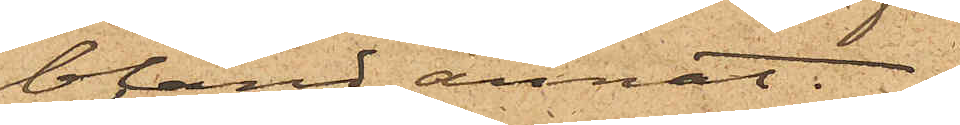bland annat 
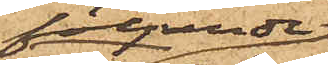följande
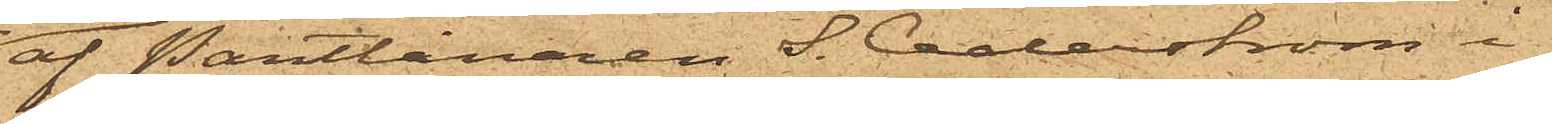af Pantlånaren S. Cederström i
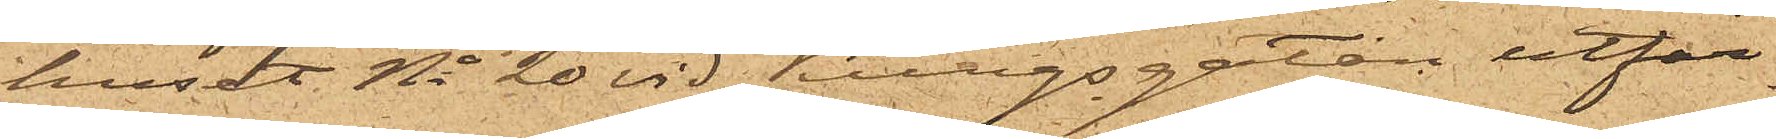huset No 20 vid Kungsgatan utfär¬
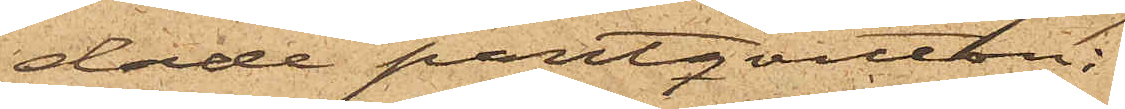dade pantqvitton:
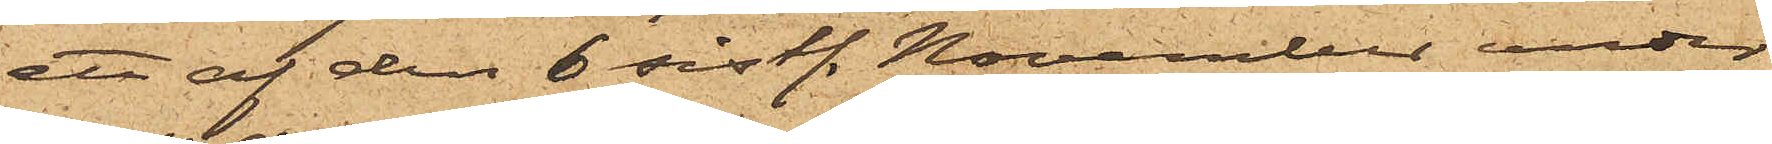ett af den 6 sistl. November under
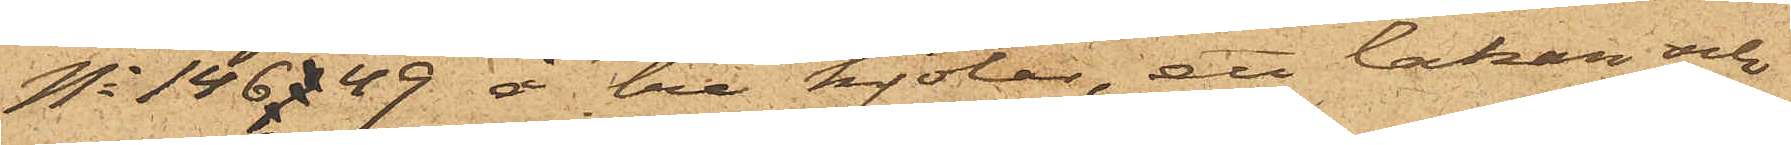No 146749 å tre kjolar, ett lakan och
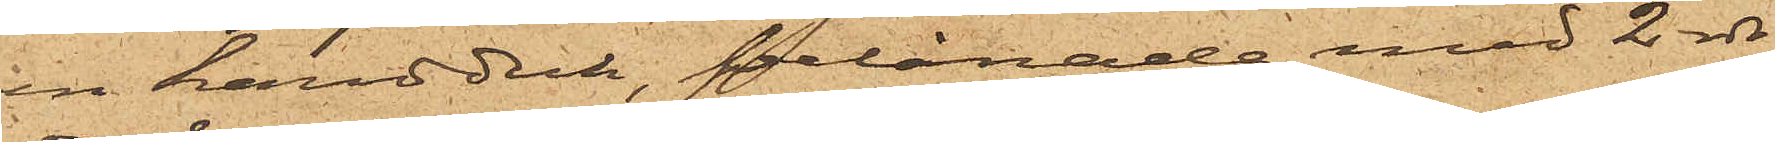en handduk, belånade med 2 rdr
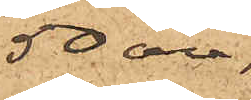50 öre;
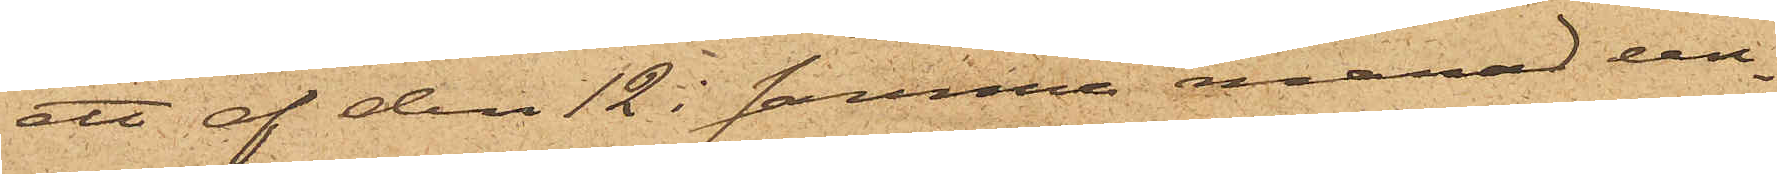ett af den 12 i samma månad un¬
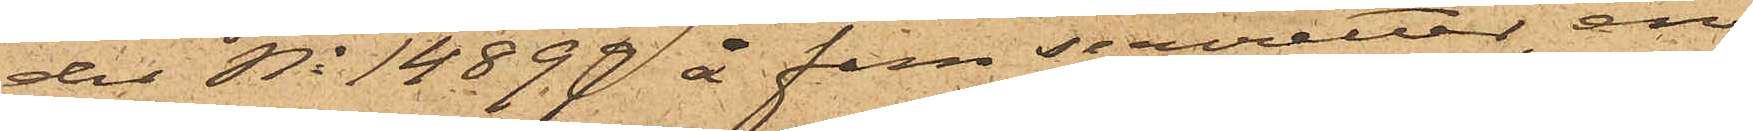der No 14899 å fem servietter, en
